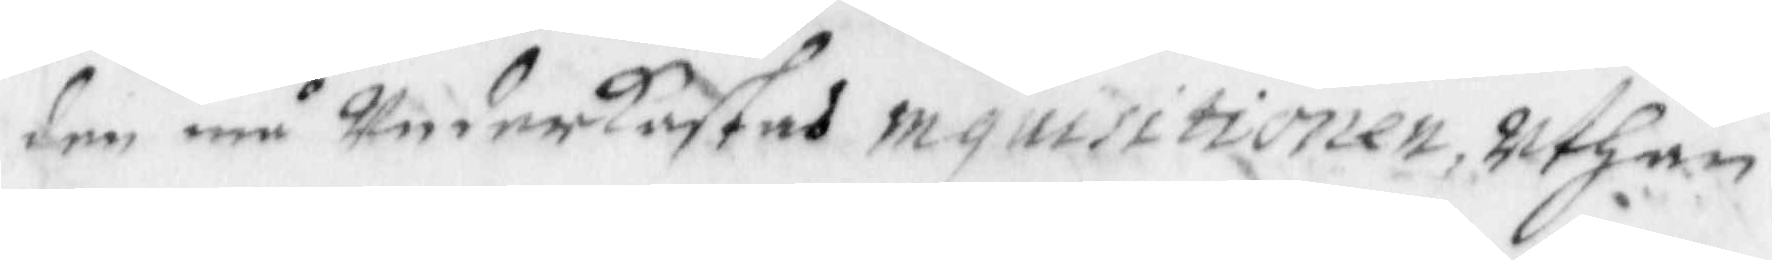den må Underkastas mguisitionen, uthan
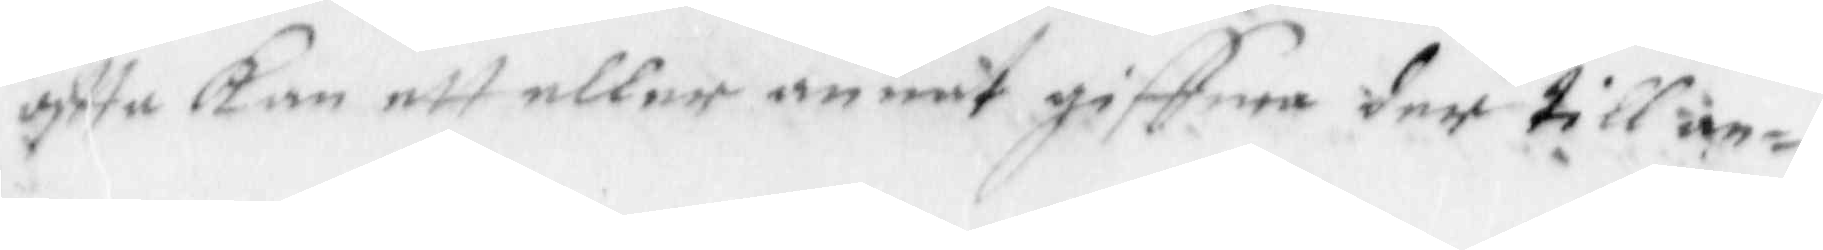oftta Kan ett eller annat giffwa der till an¬
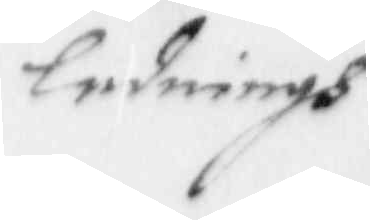ledningh
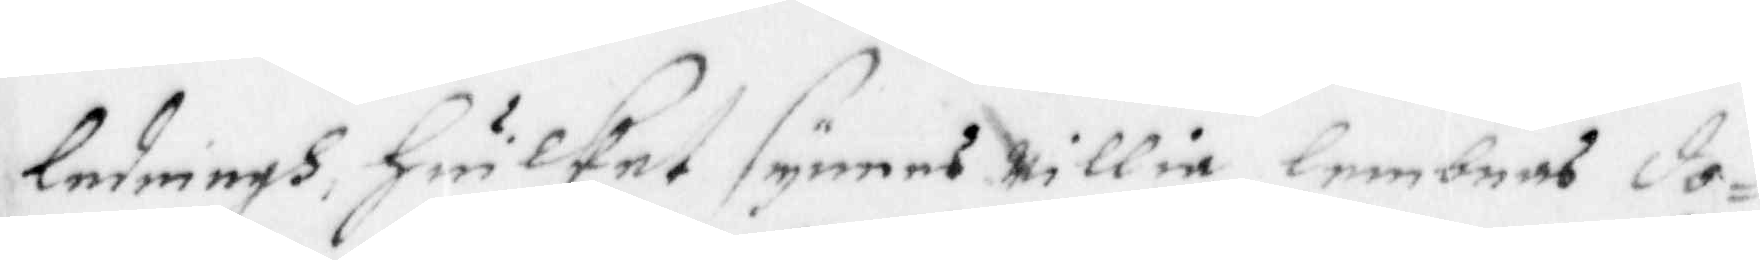ledningh, Huilket synes willia lembnas do¬
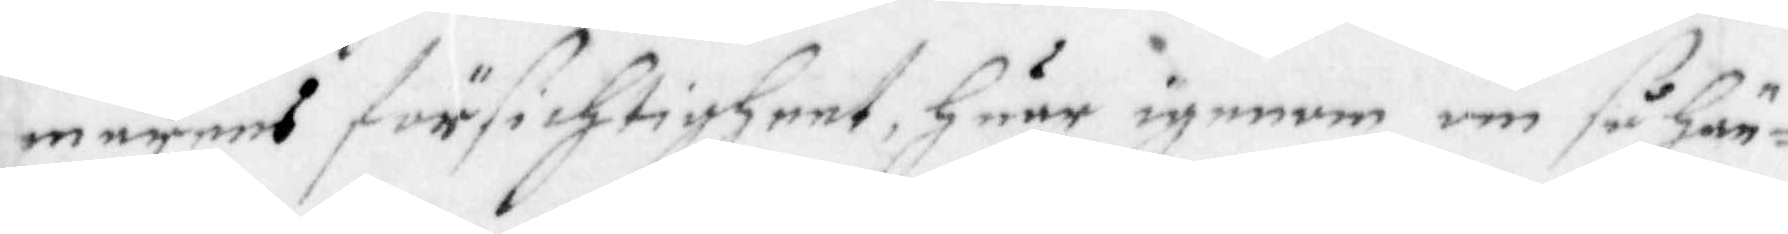merens försichtigheet, Huar igenom om så Hän¬
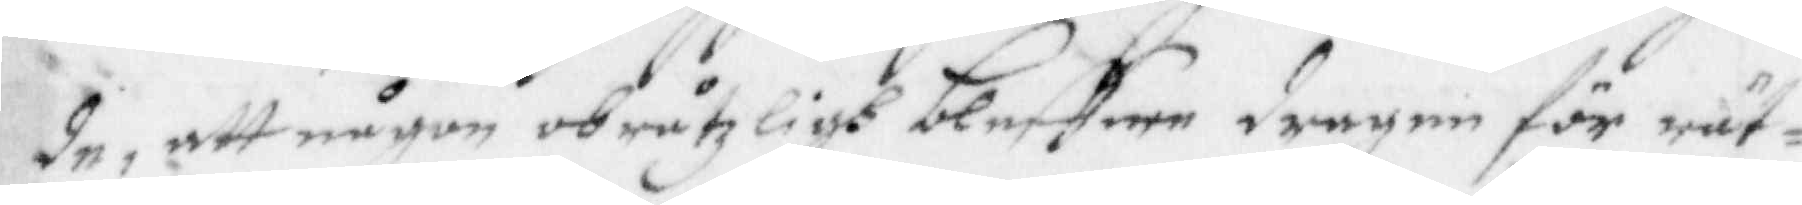de, att någon obråtzligh bleffwe dragen för rät¬
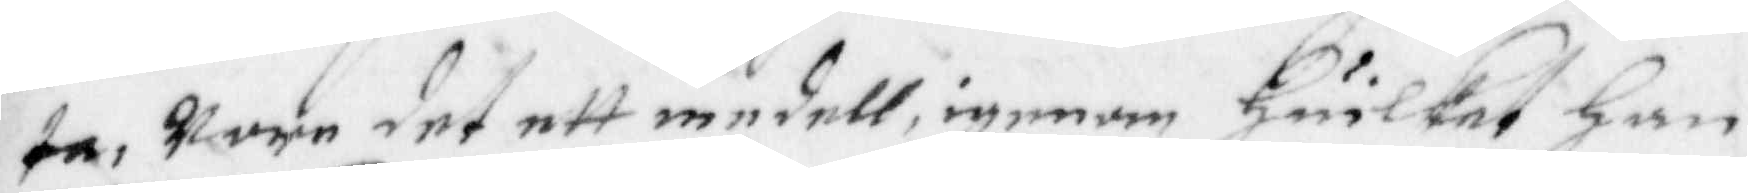ta, wore det ett medell, igenom Huilket han
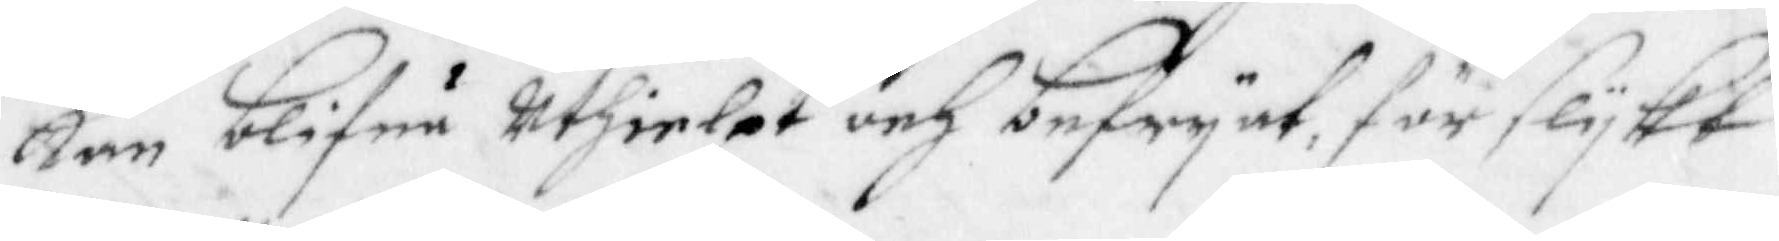kan blifua Uthielpt och befryat, för slukt
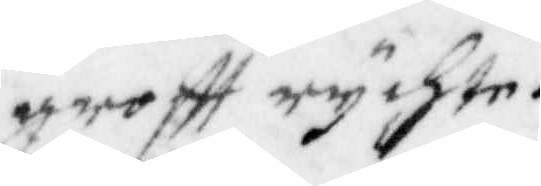groftt rychte.
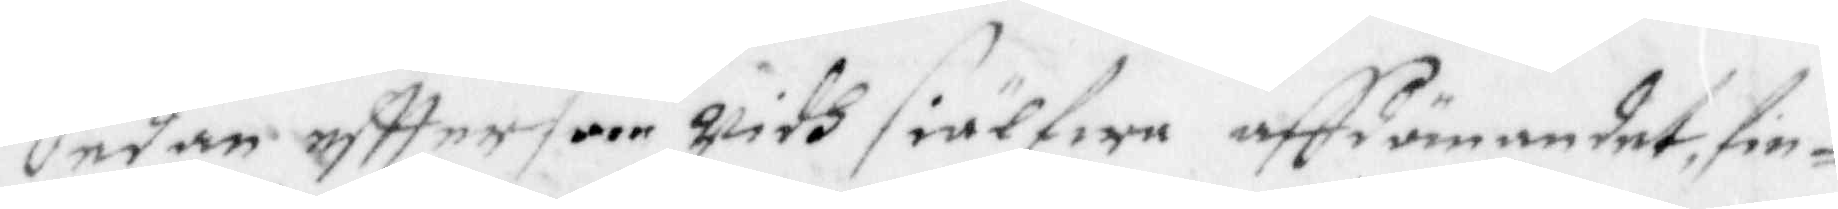Sedan efttersom wifh siälwa affdömandet, fin¬
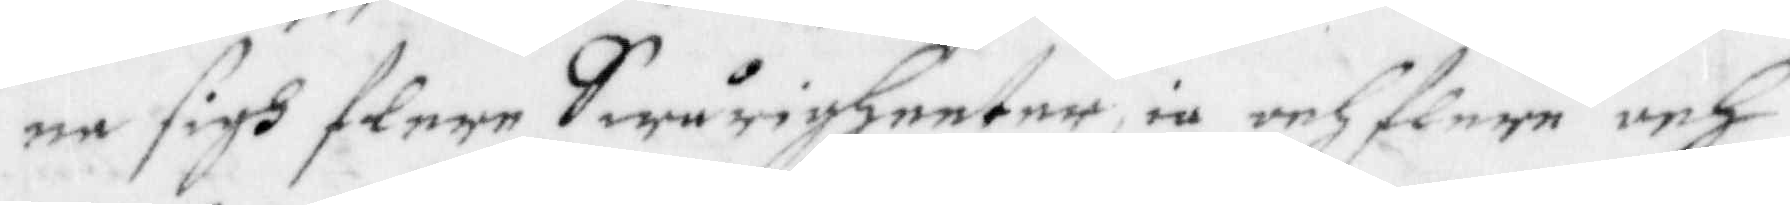na sigh flere Swårigheeter iu och flere och
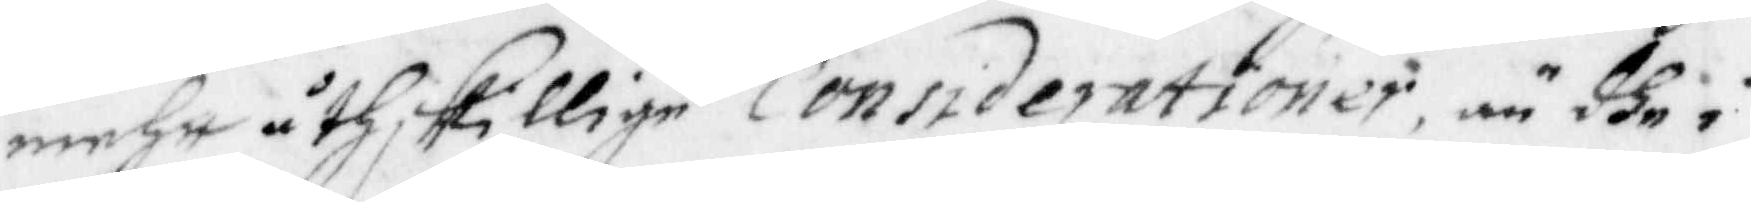mehr åtskillige Considerationer, än dhe i
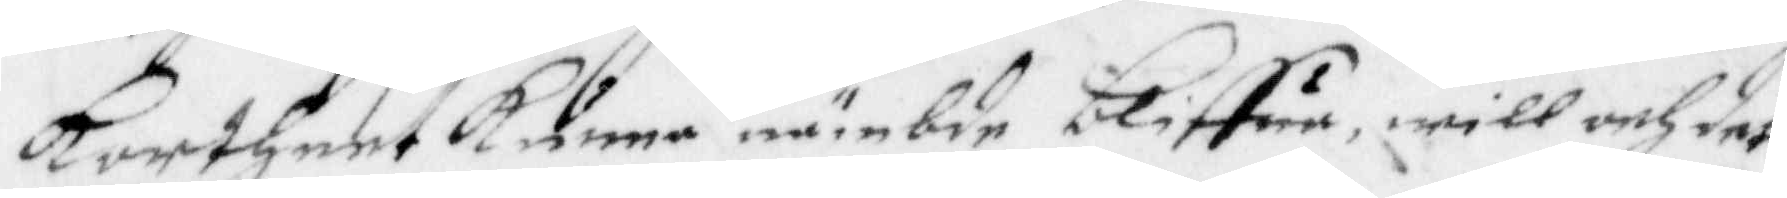kortheet kunna nämbde bliffua, will och det
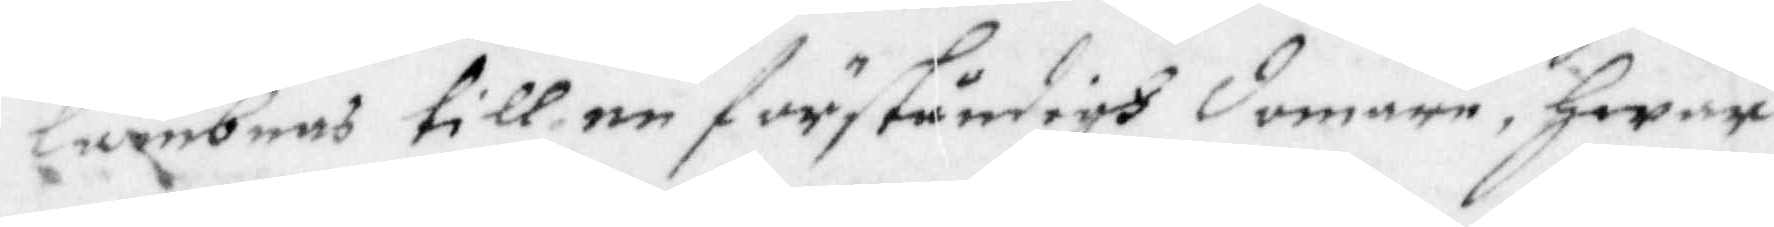lämbnas till en förståndigh domare, hwar
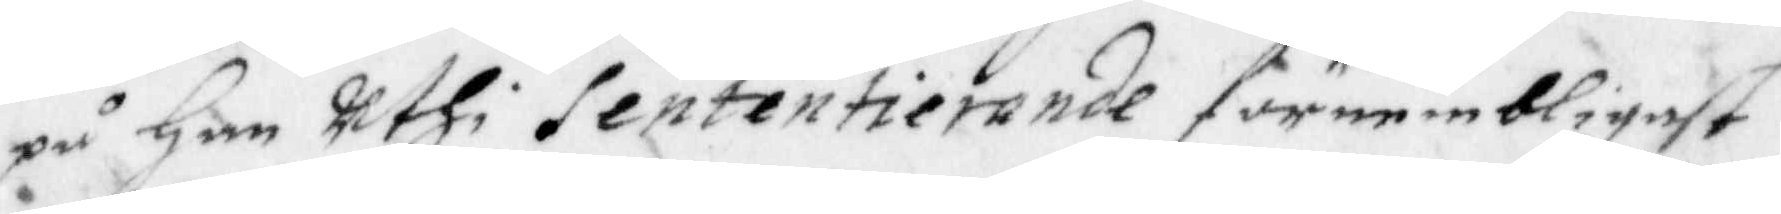på han uthi Sententierande förnembligast
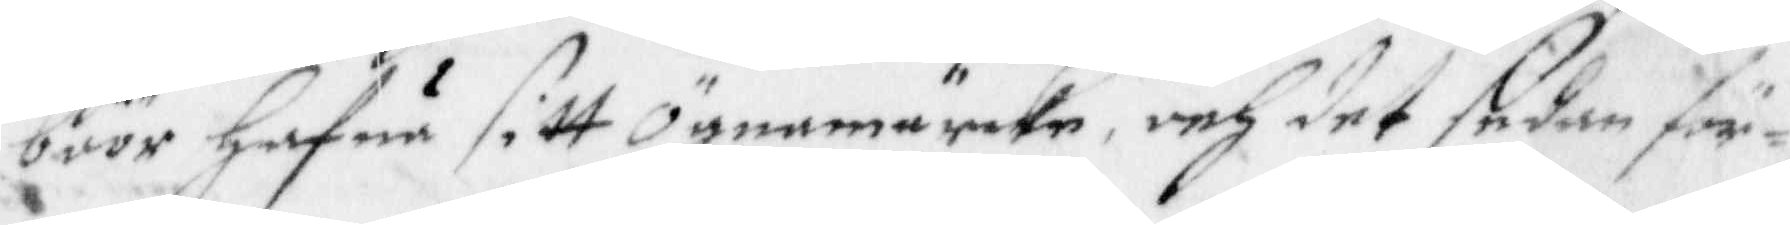böör hafua sitt ögnamärke, och det sedan för¬
